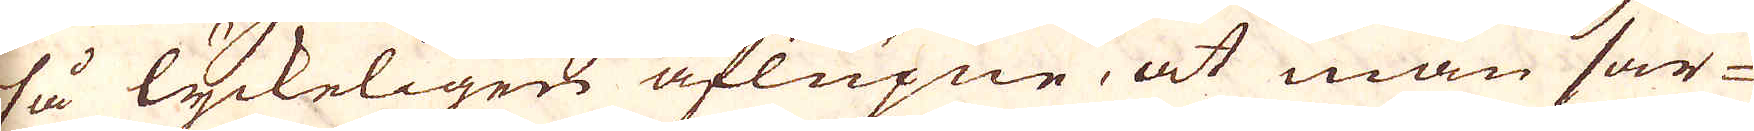så lyckeligen aflupne, at man sär-
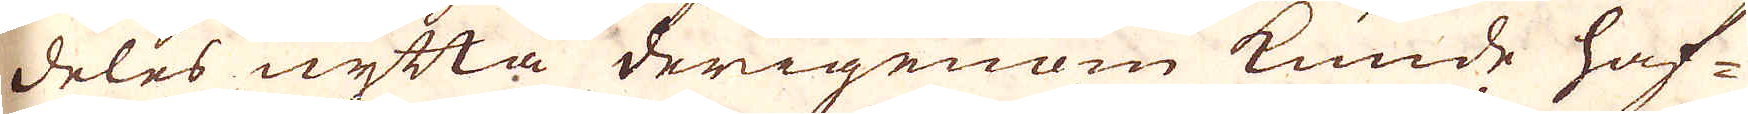deles nytta derigenom kunde haf-
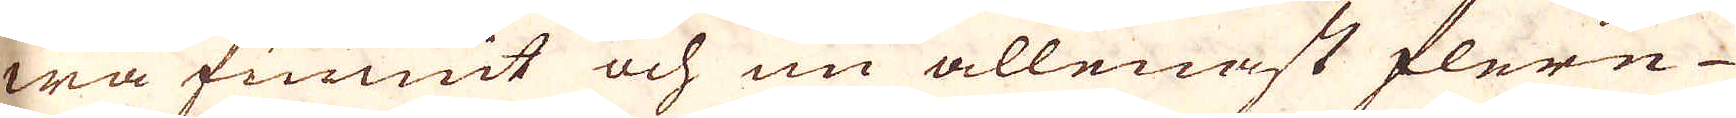wa funnit och nu allenast flere
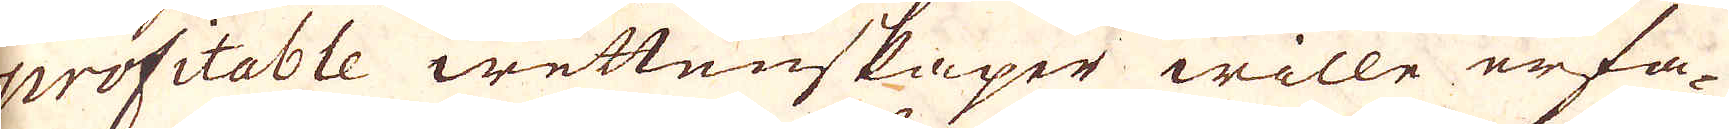profitable wettenskaper wille erfa-
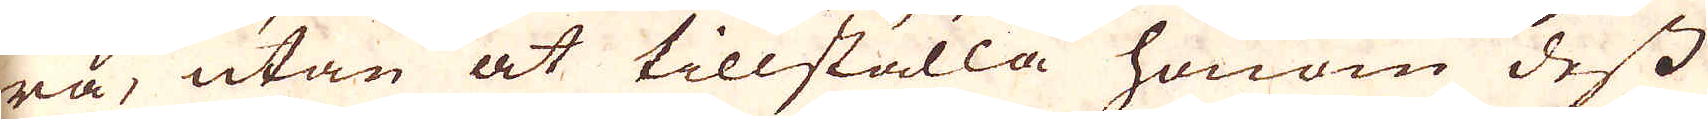ra, utan at tillställa honom dess
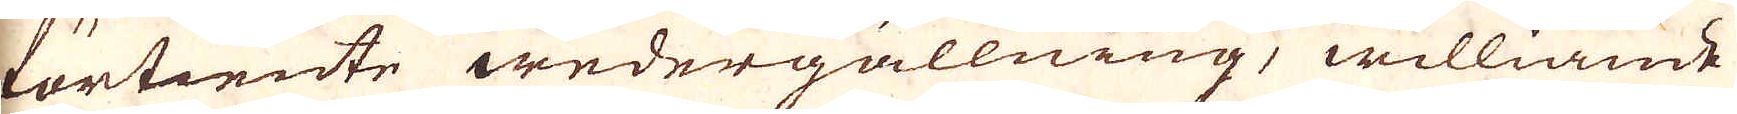förtiente wedergällning, williande
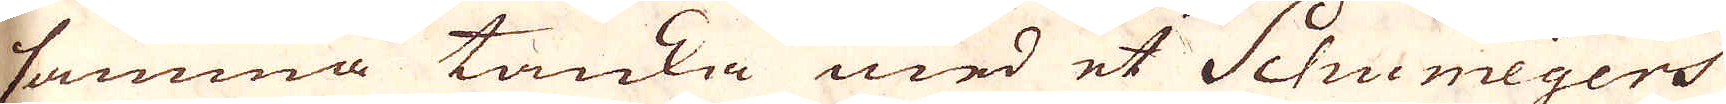samma tanka med et Schunmeyers
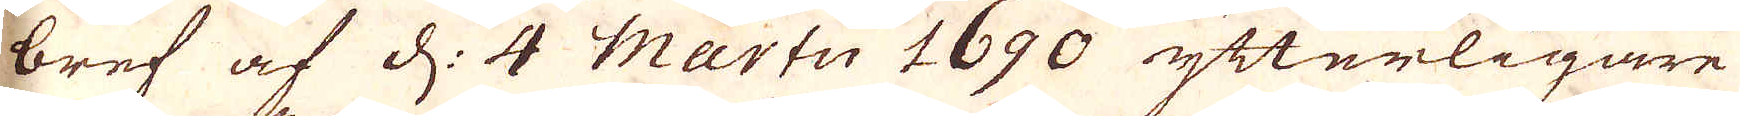bref af d: 4 Martii 1690 ytterligare
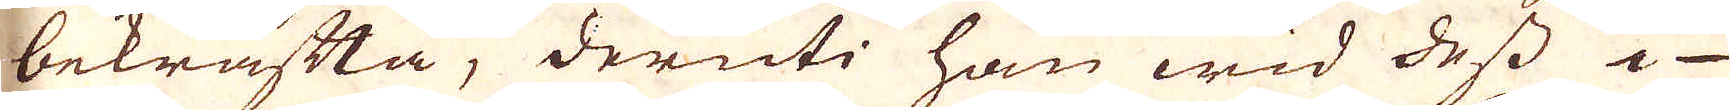bekräfta, deruti han wid dess i
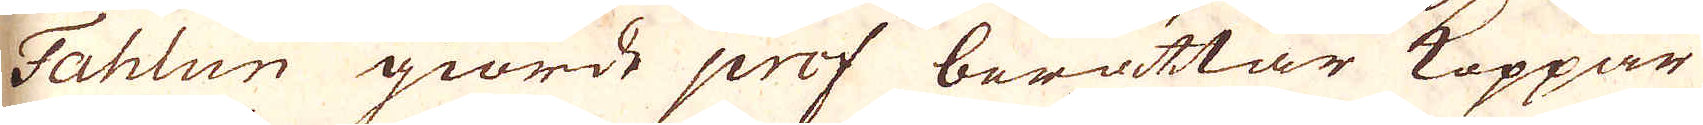Fahlun giorde prof berättar Koppar
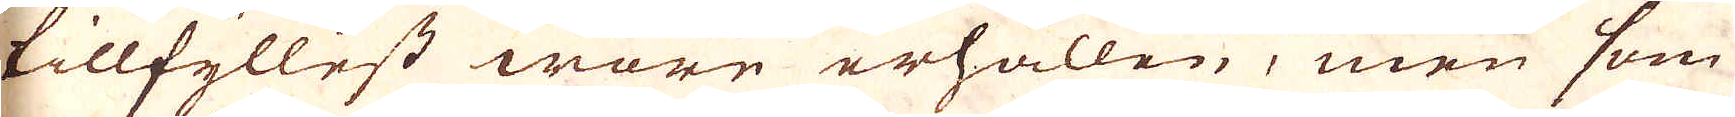tillfyllest ware erhållen, men som
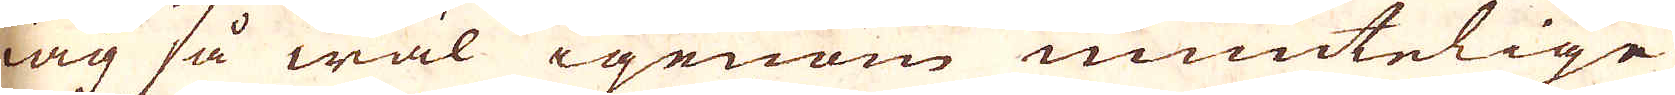iag så wäl igenom muntelige
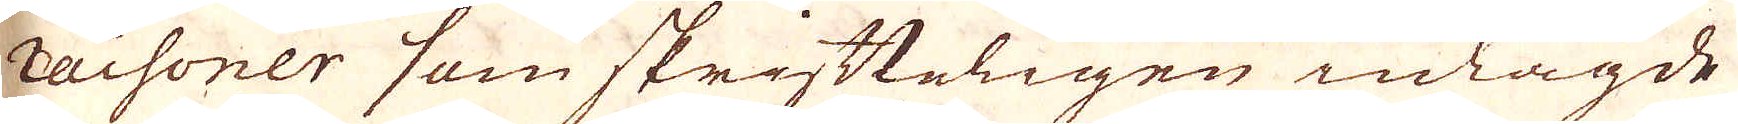raisoner som skrifteligen inlagde
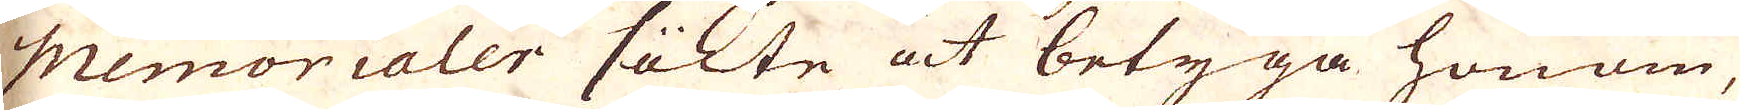Memorialer sökte at betyga honom,
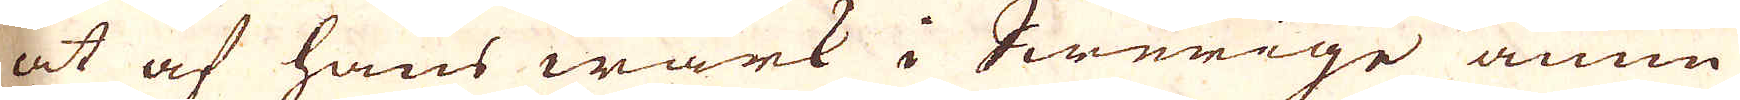at af hans wärk i Swerige ännu
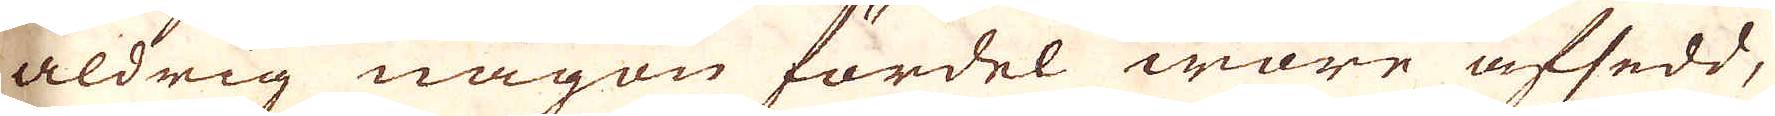aldrig någon fördel ware afsedd,
